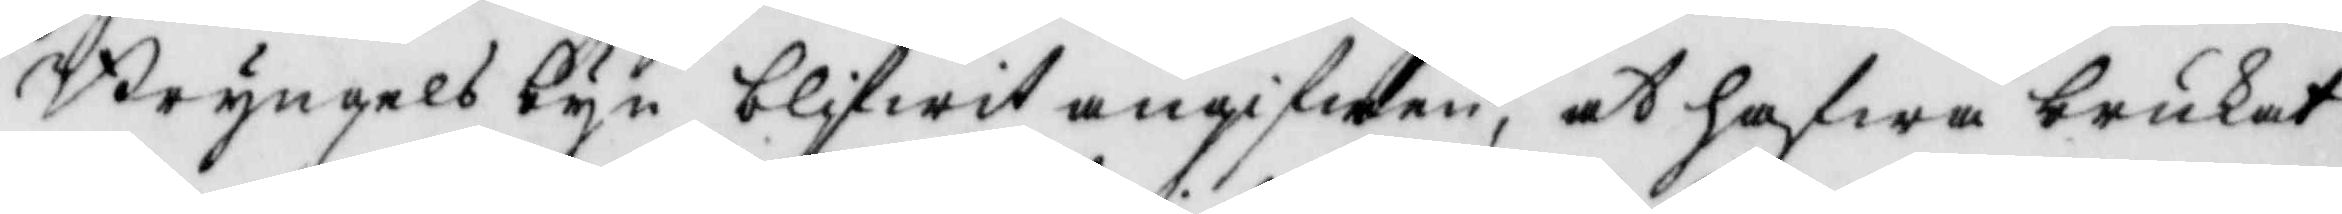Bryngelsbyn blifwit angifwen, at hafwa brukat
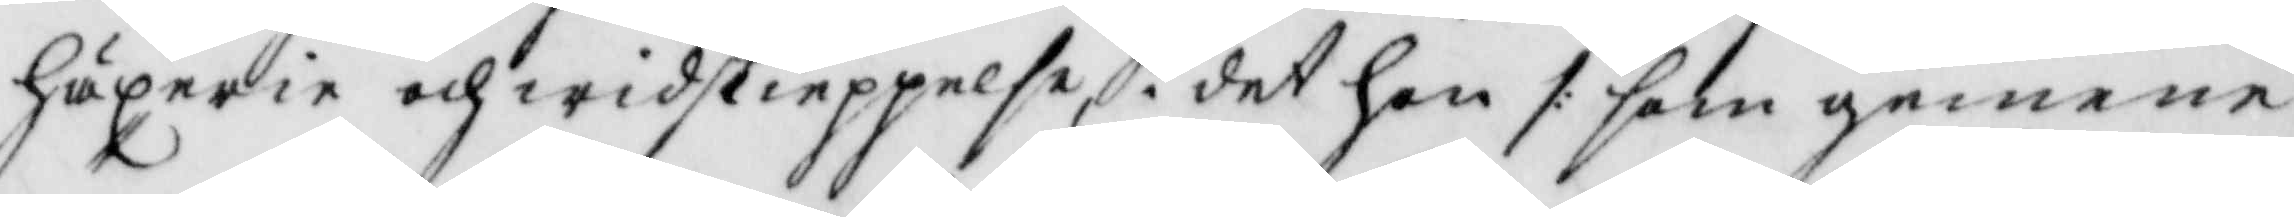häxerie och widskieppelse, i det hon /: som gemene
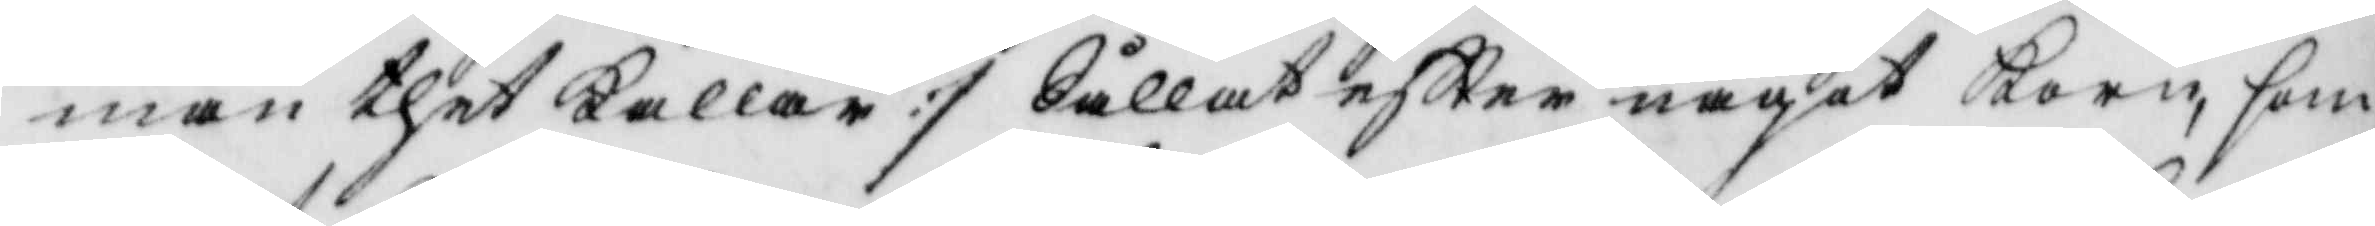man thet kallar :/ Sållat eftter något Korn, som
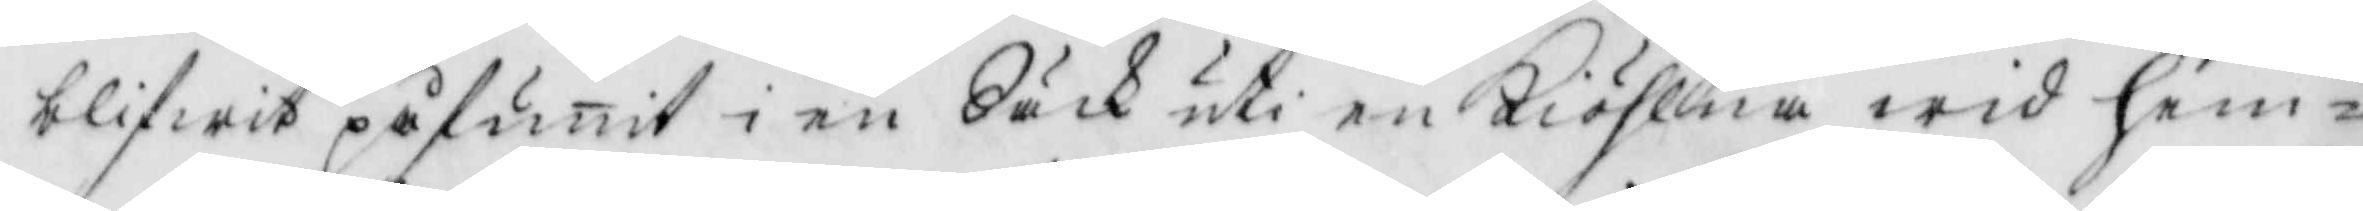blifwit påfunit i en Säck uti en Kiöhlna wid hem¬
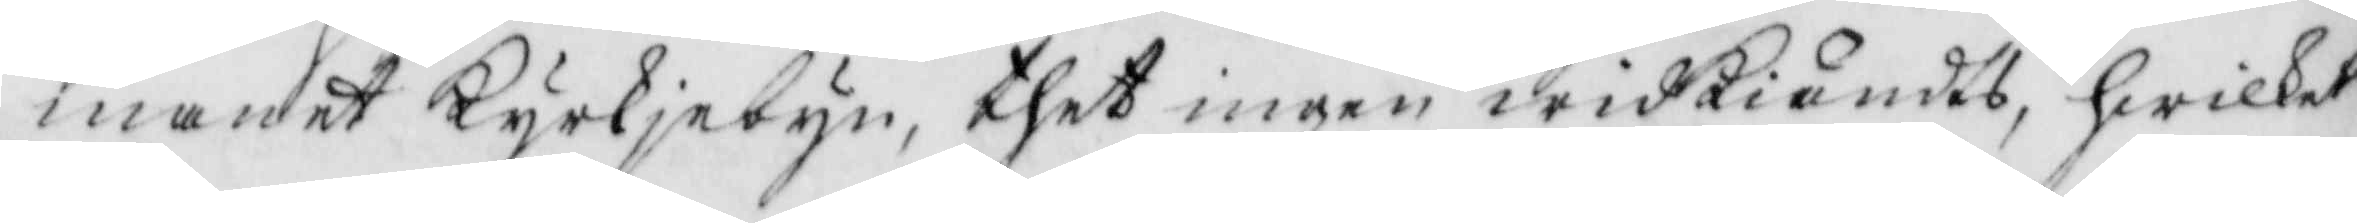manet Kyrkjebyn, thet ingen widkiändts, hwilket
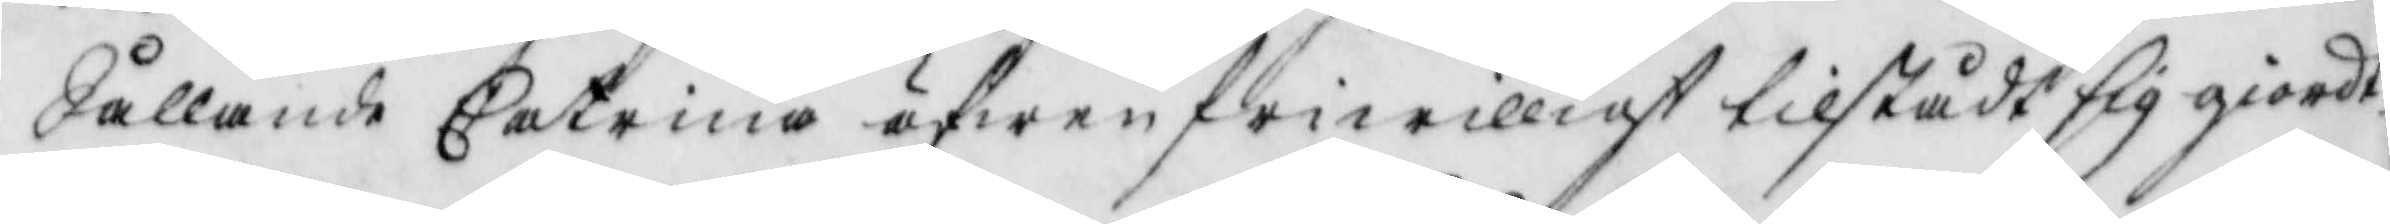Sållande Catrina äfwen friwilligt tilstådt sig giordt
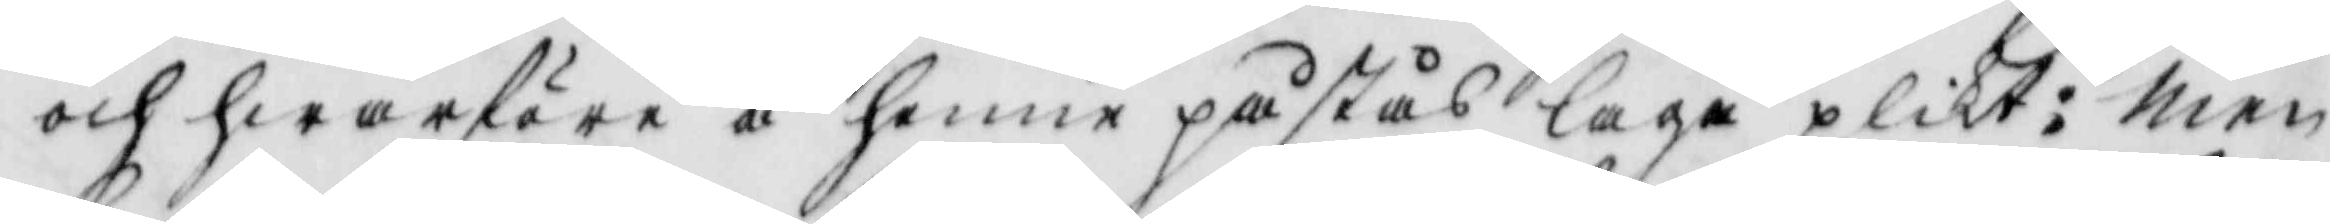och hwarföre å henne påstås laga plikt: men
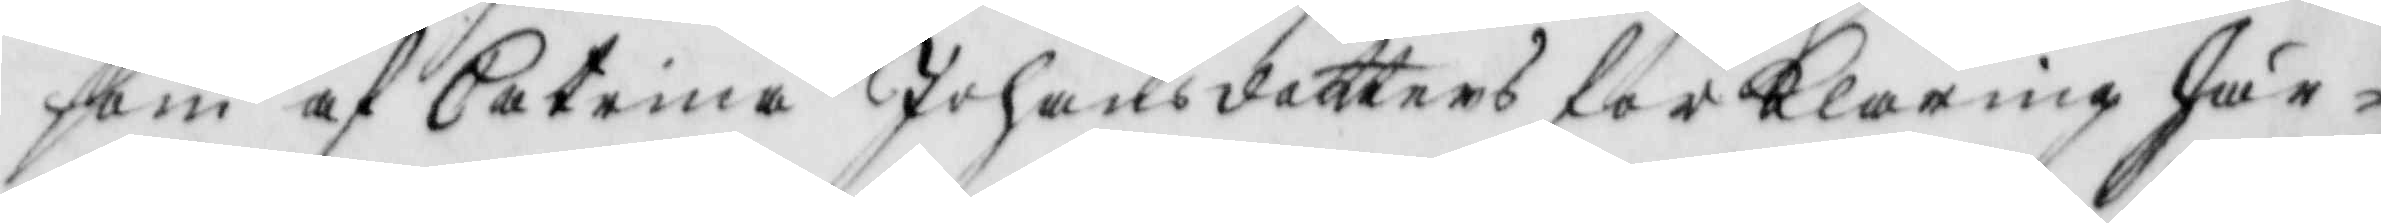som af Catrina Johansdotters forklaring Här¬
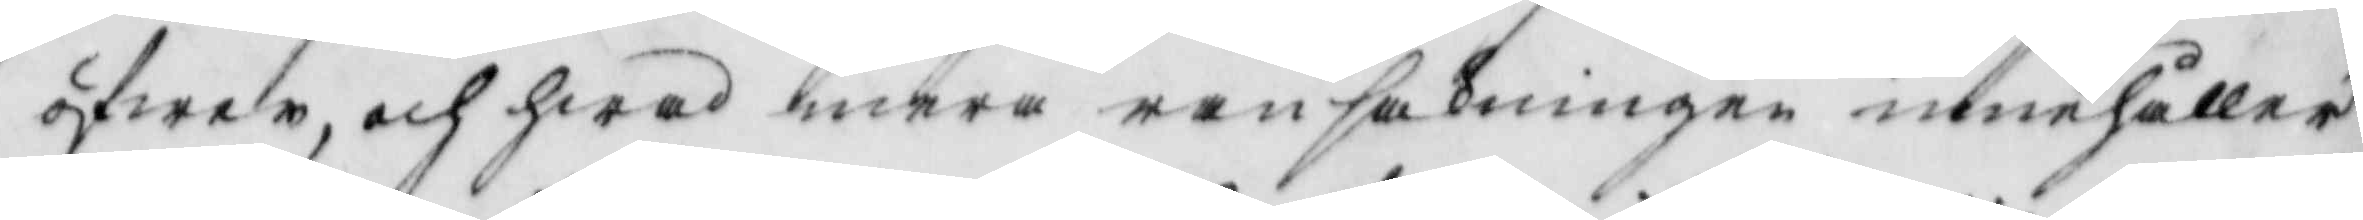öfwer, och hwad mera ransakningen innehåller
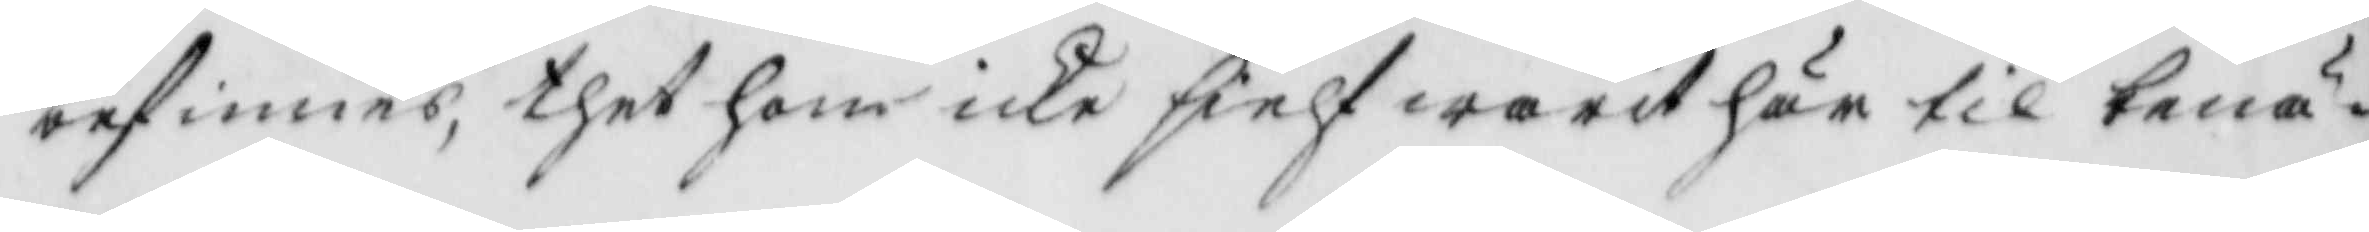befinnes, thet hon icke sielf warit här til benä¬
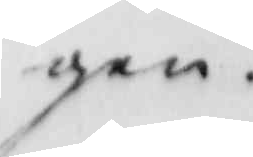gen
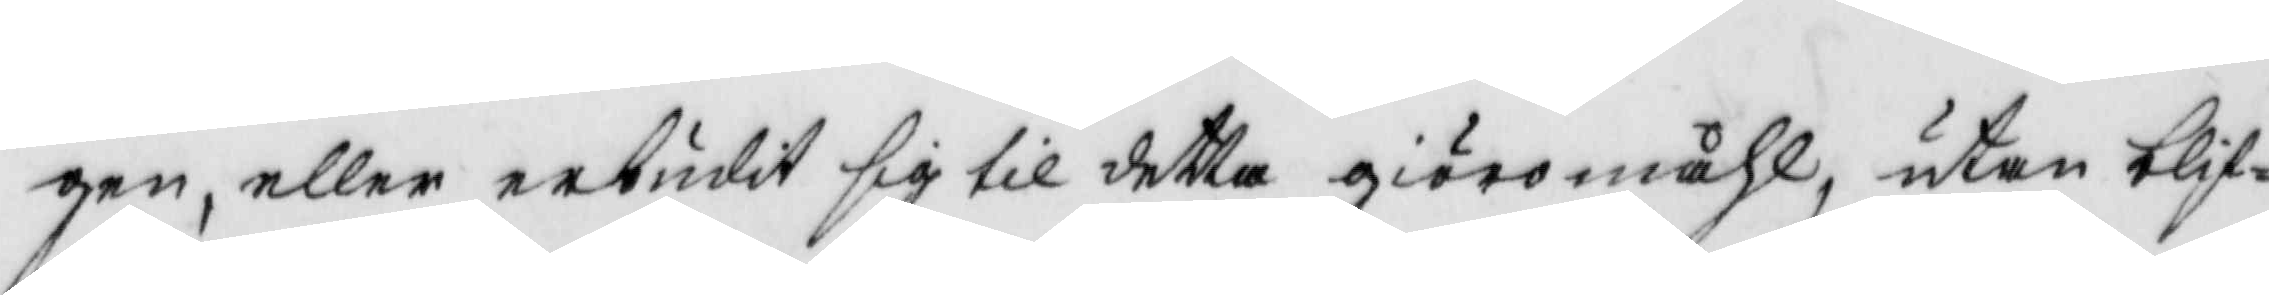gen, eller erbudit sig til detta giöromåhl, utan blif
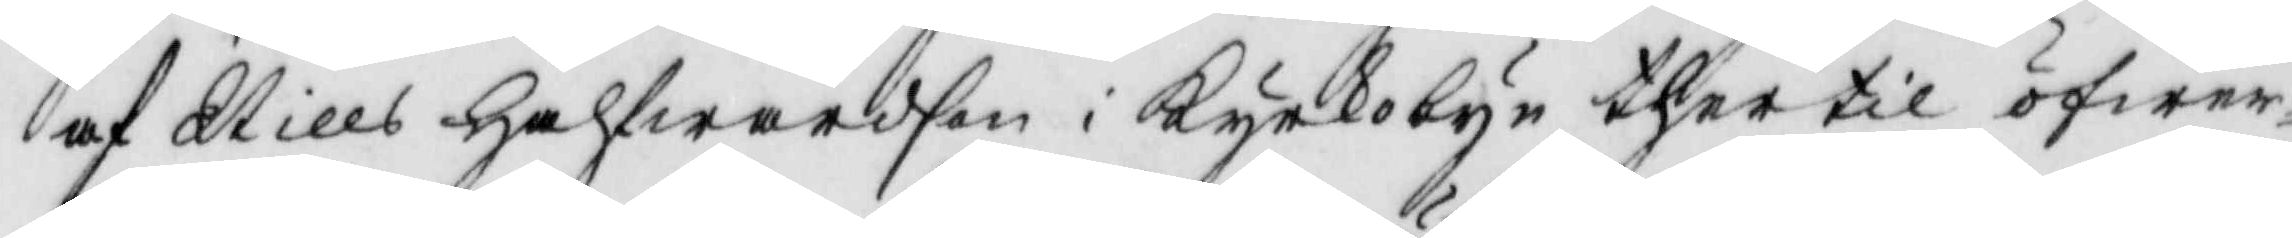af Nills Halfwardson i Kyrkobn ther til öfwer¬
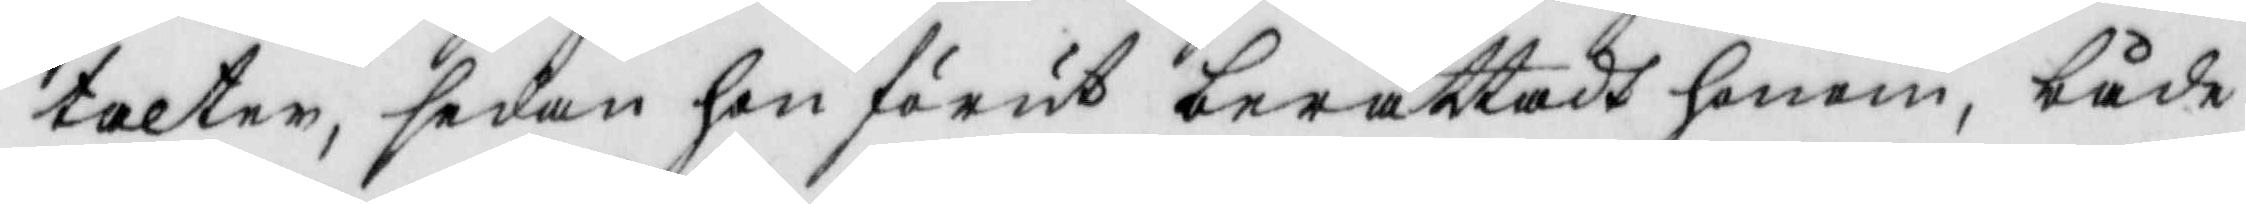talter, sedan hon förut berättadt honom, både
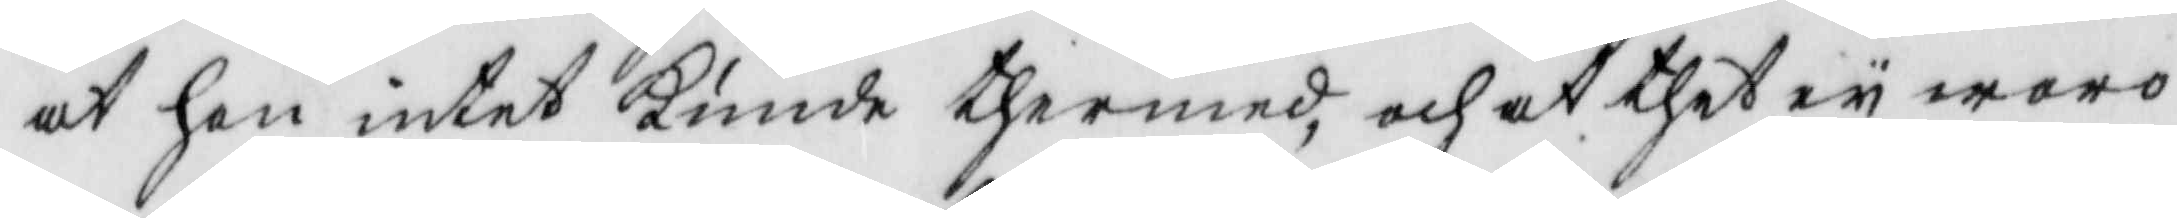at hon intet kunde thermed, och at thet ey woro
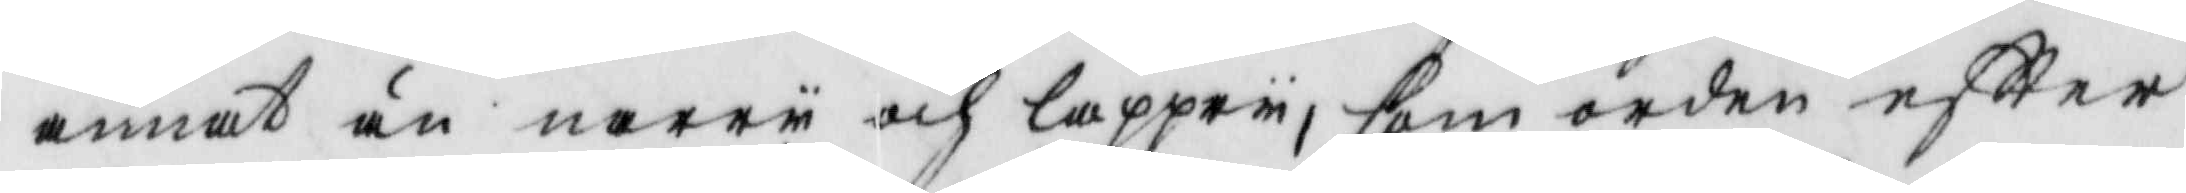annat än narry och lappry, som orden eftter
